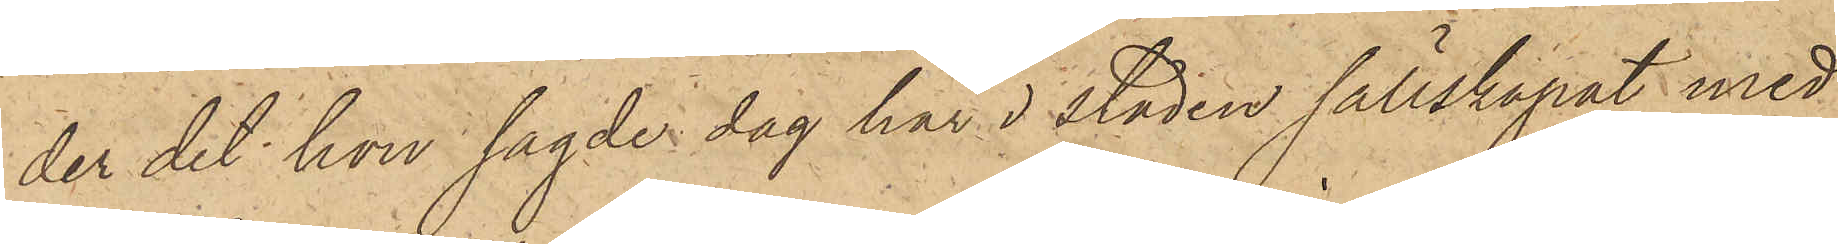der det han sagde dag här i staden sällskapat med
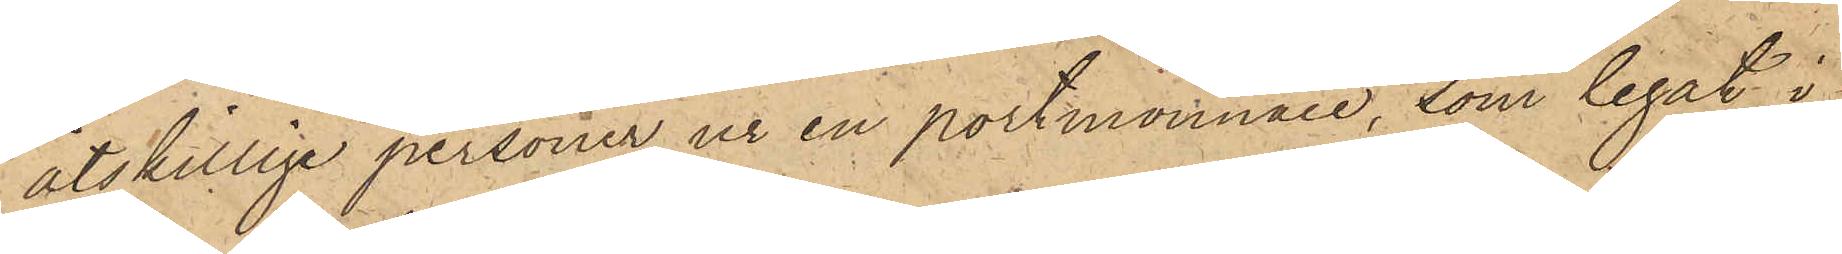åtskillige personer, ur en portmonnaie, som legat i
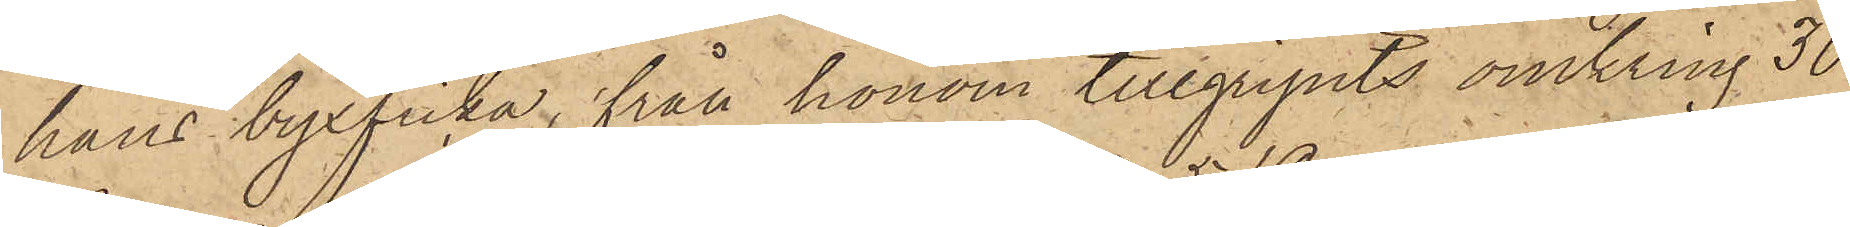hans byxficka, från honom tillgripits omkring 30
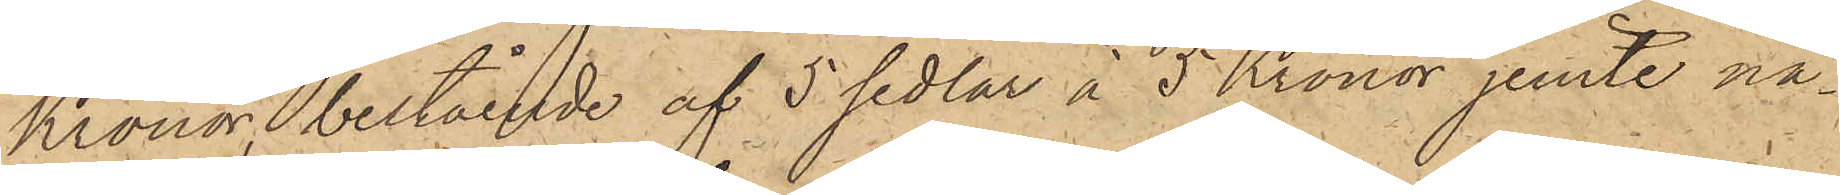Kronor, bestående af 5 sedlar à 5 Kronor jemte nå¬
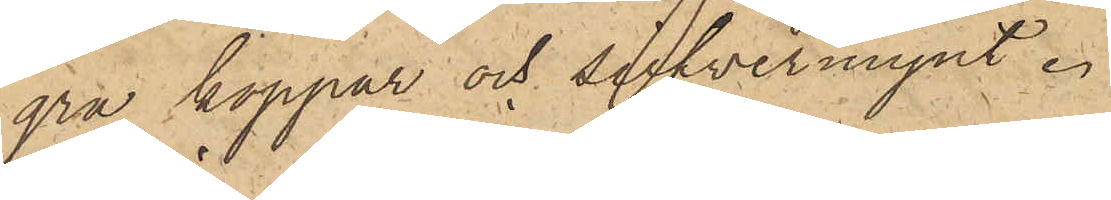gra koppar och silfvermynt.
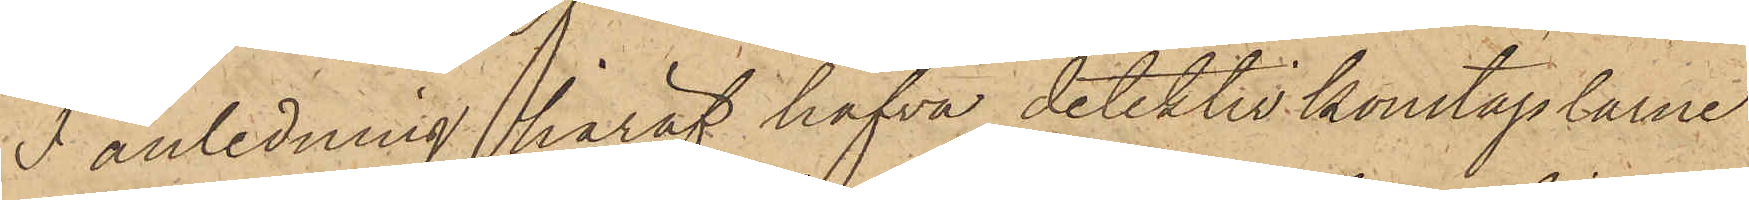I anledning häraf hafva detektivkonstaplarne
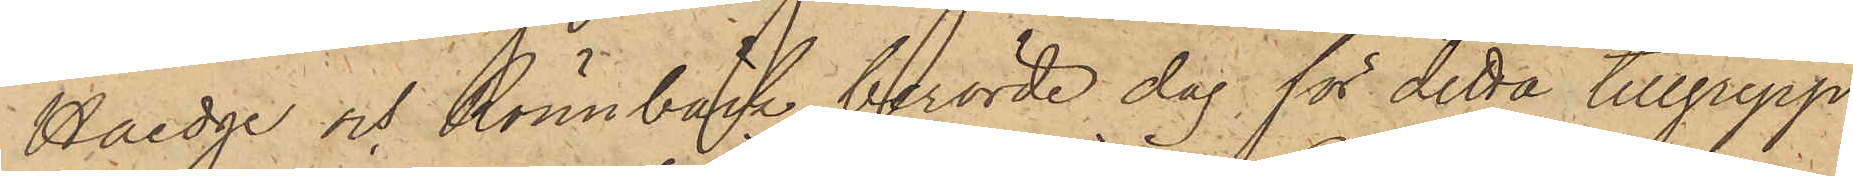Haedge och Rönnbäck berörde dag för detta tillgrepp
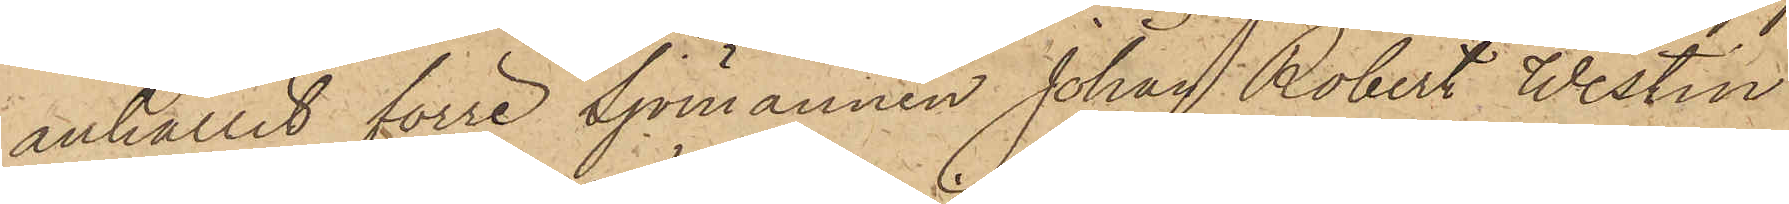anhållit förre Sjömannen Johan Robert Westin
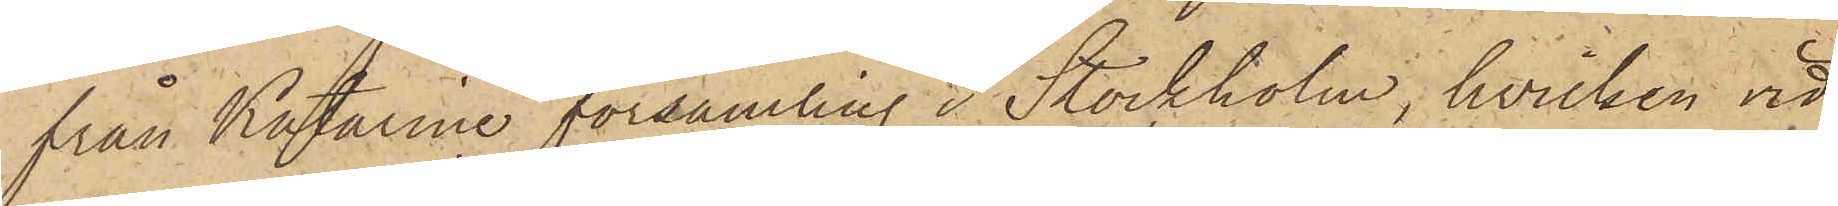från Katarina församling i Stockholm, hvilken vid
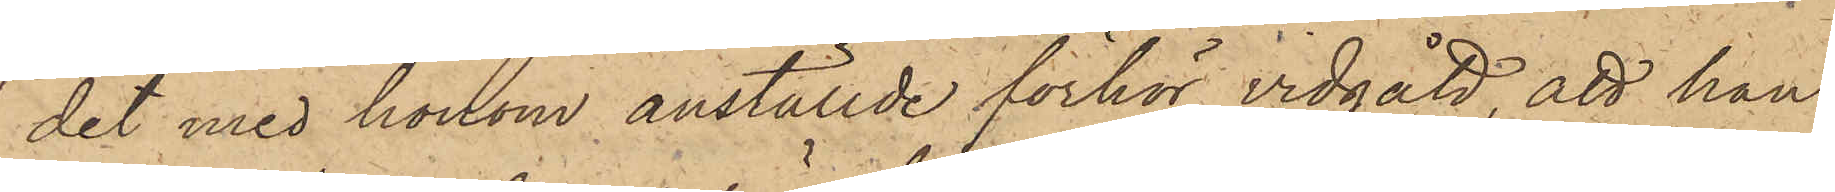det med honom anställde förhör vidgått, att han
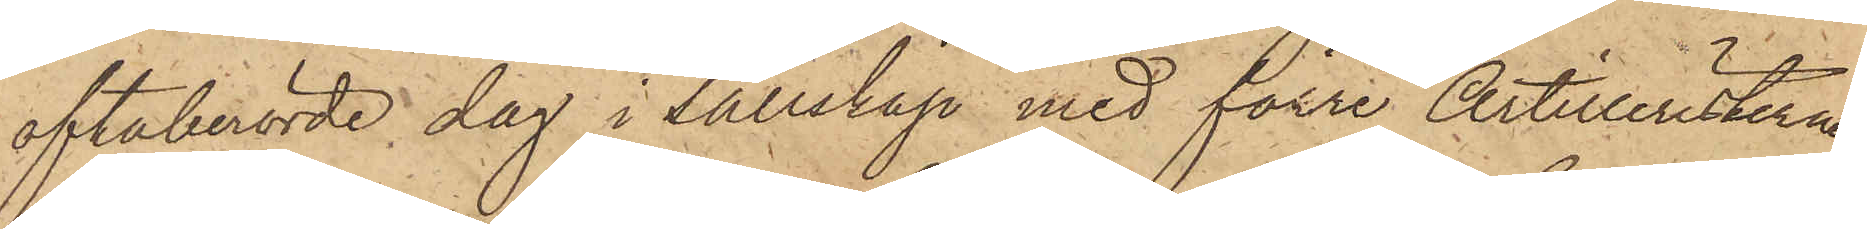oftaberörde dag i sällskap med förre Artilleristerna
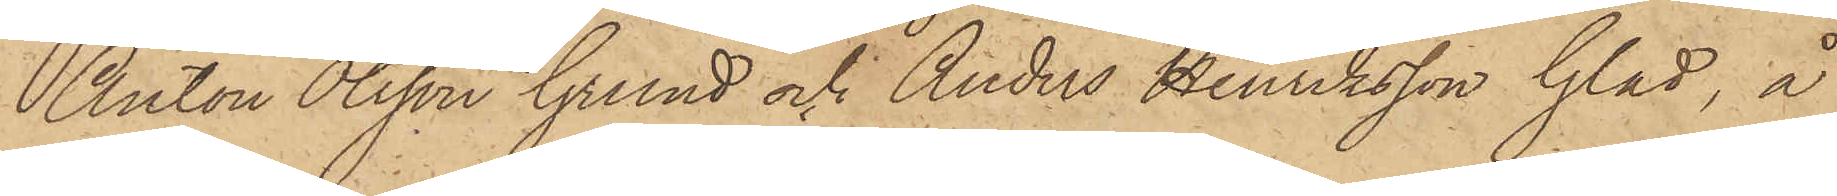Anton Olsson Grund och Anders Henriksson Glad, å
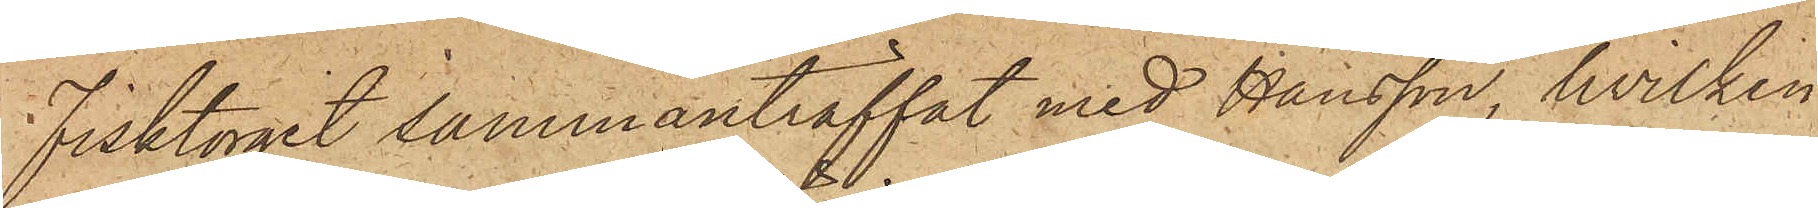Fisktorget sammanträffat med Hansson, hvilken
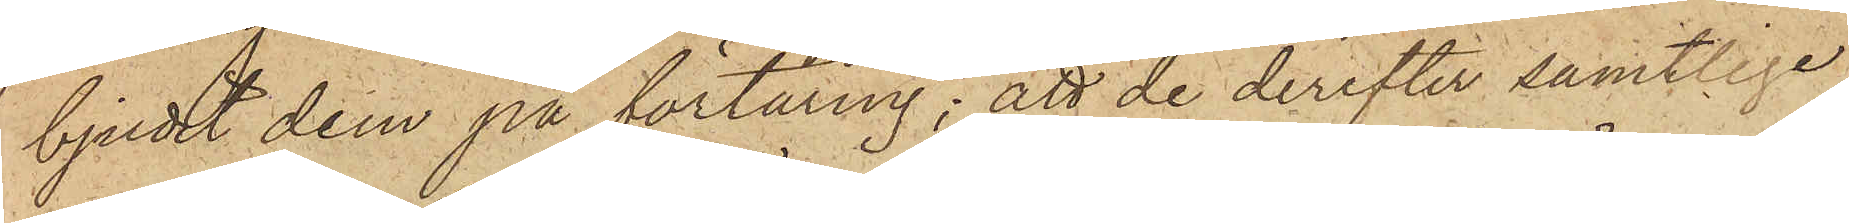bjudit dem på förtäring; att de derefter samtlige
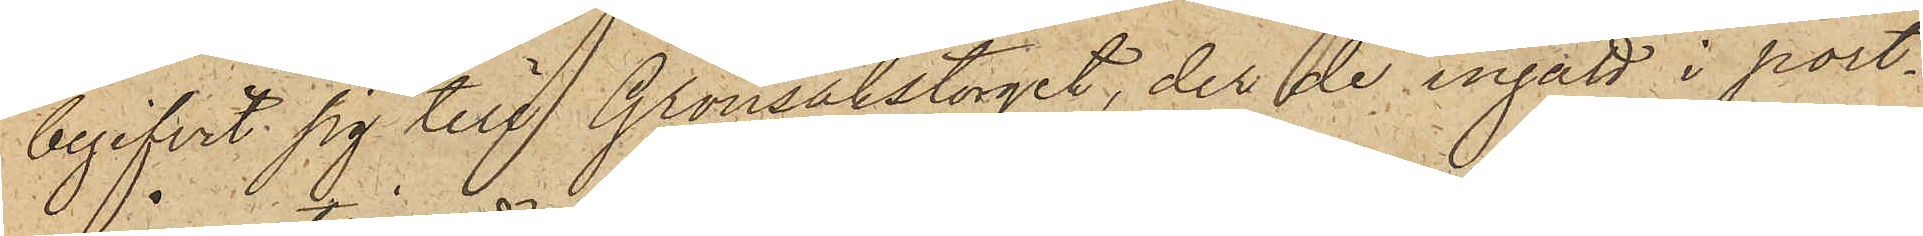begifvit sig till Grönsakstorget, der de ingått i port¬
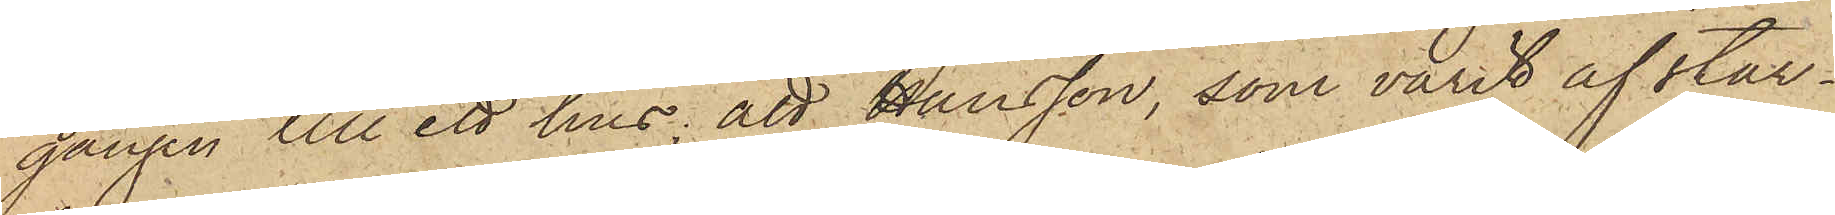gången till ett hus; att Hansson, som varit af star¬
